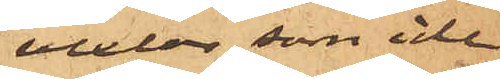vexlar som icke
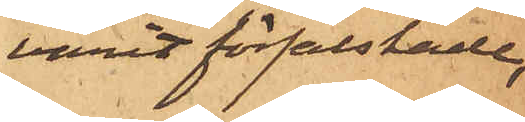varit förfalskade,
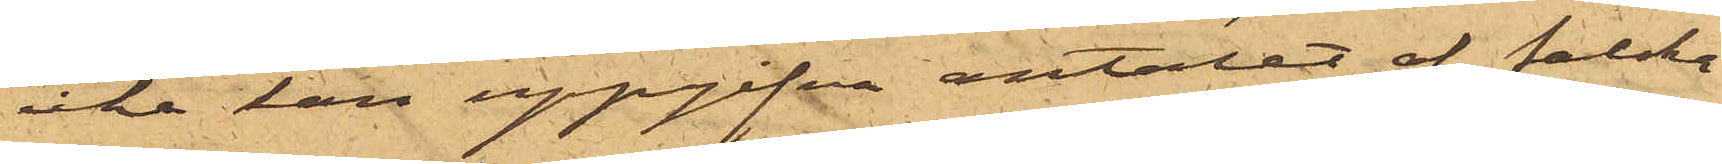icke kan uppgifva antalet af falska
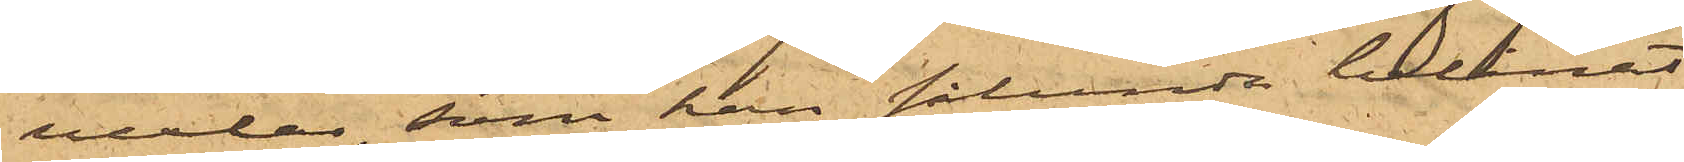vexlar, som han sålunda belånat
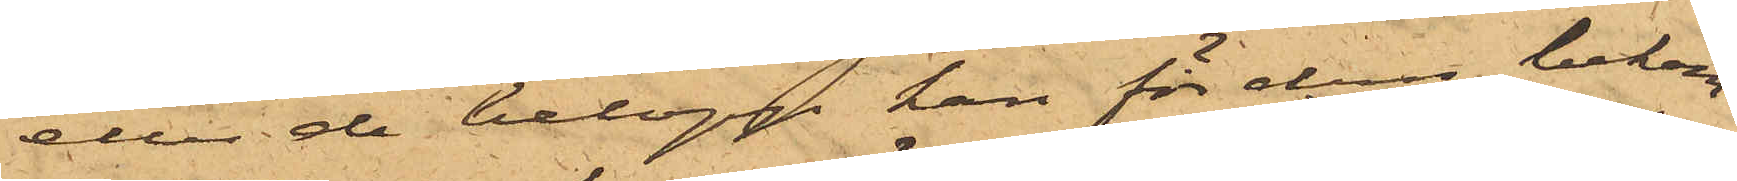eller de belopp han för dessa bekom¬
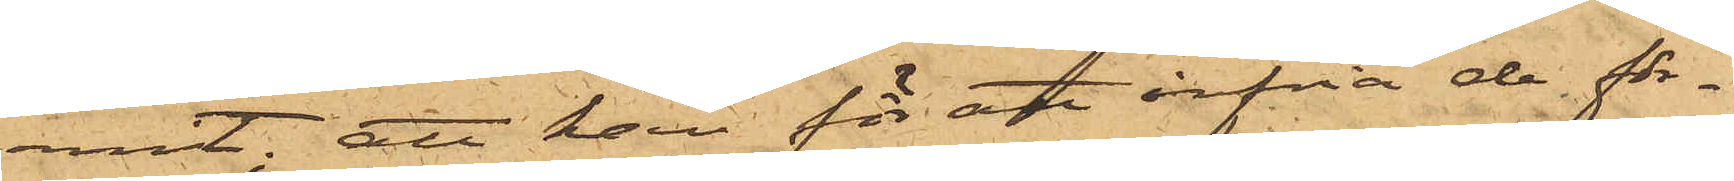mit; att han för att infria de för¬
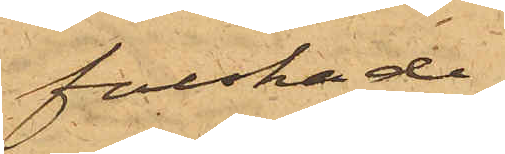falskade
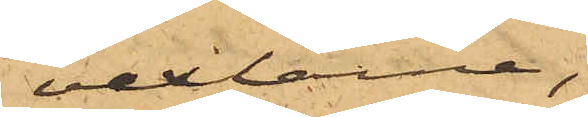vexlarna,
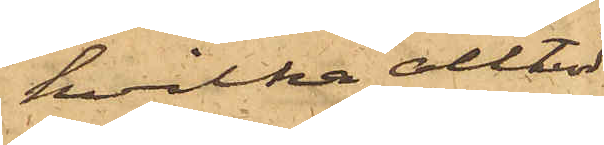hvilka alltid
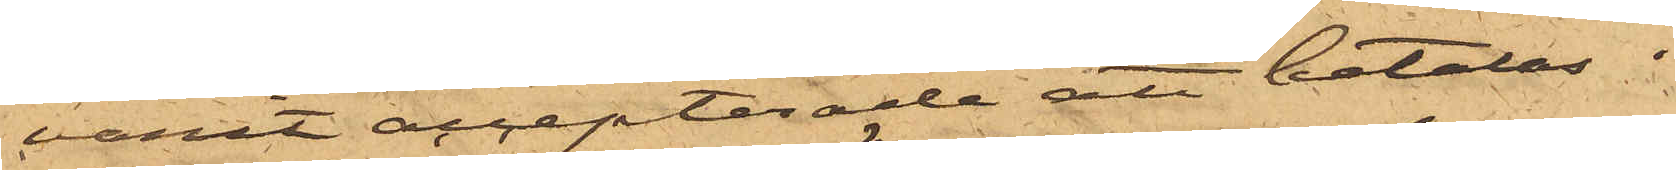varit accepterade att betalas i
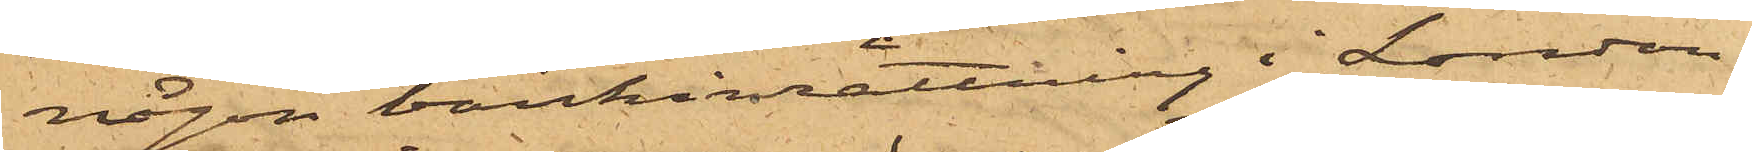någon bankinrättning i London,
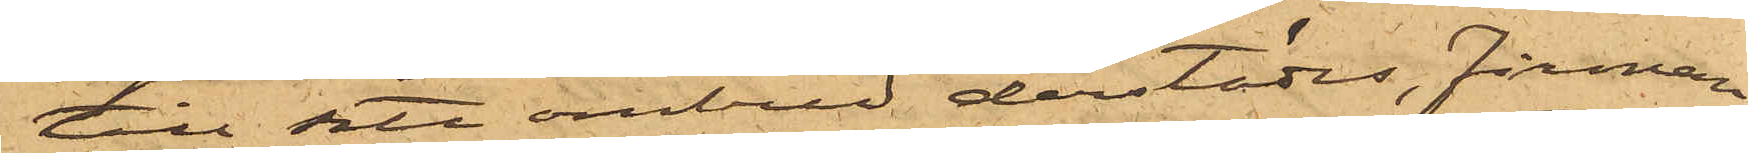till sitt ombud derstädes, firman
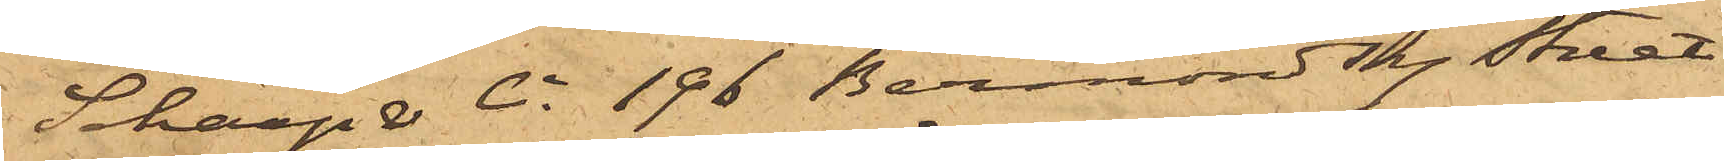Scharp & Co. 196 Bermondsey Street
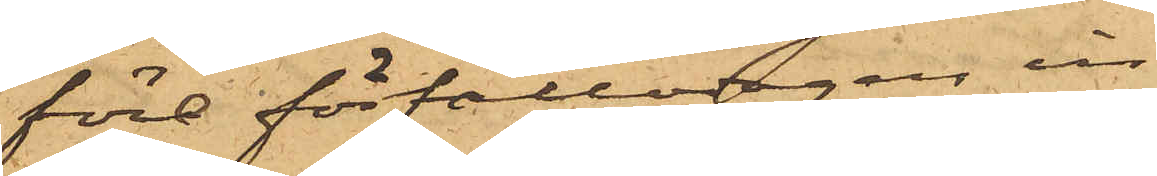före förfallodagen in¬
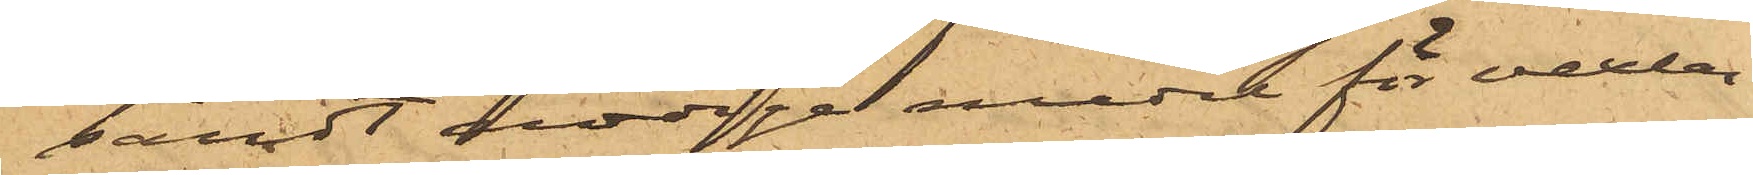sändt nödige medel för vexlar¬
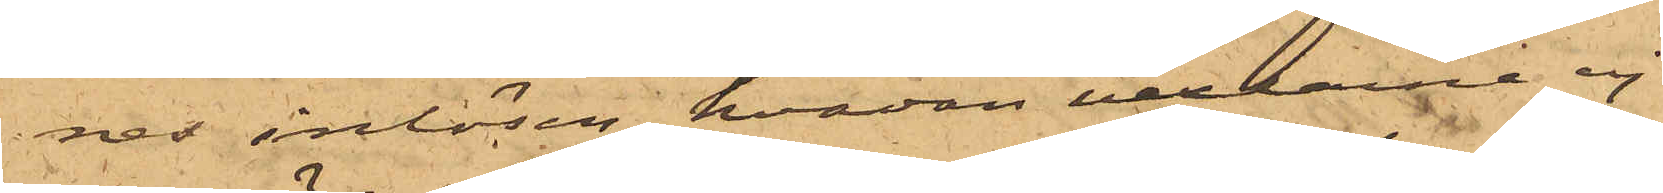nes inlösen, hvadan vexlarne ej
